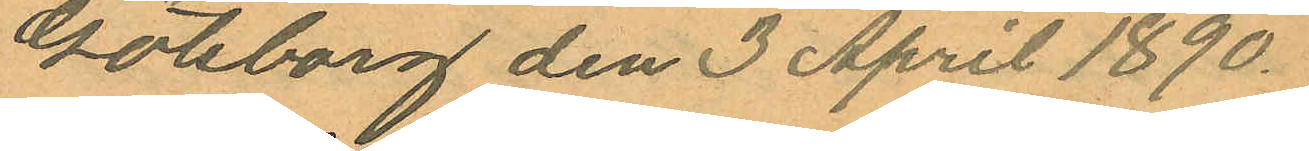Göteborg den 3 April 1890.
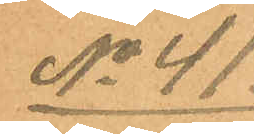No 41.
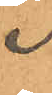Frans
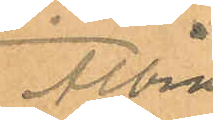Albin
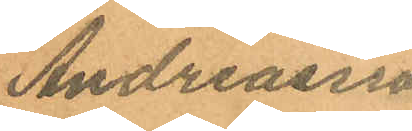Andreasson
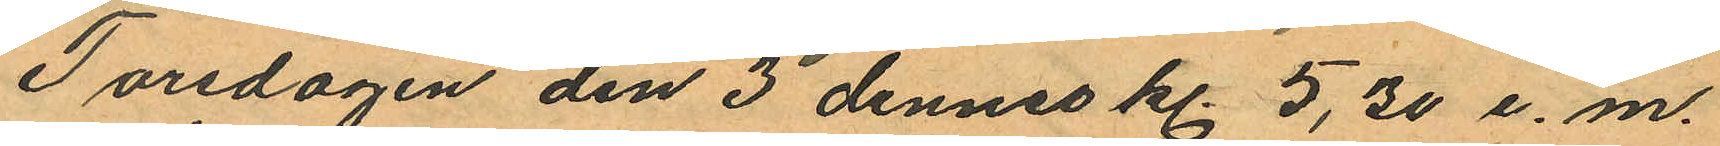Torsdagen den 3 dennes kl. 5,30 e.m.
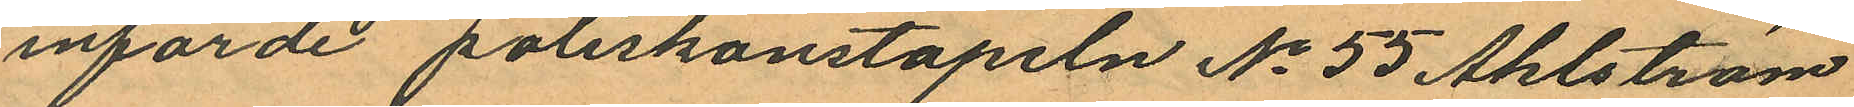införde poliskonstapeln No 55 Ahlström
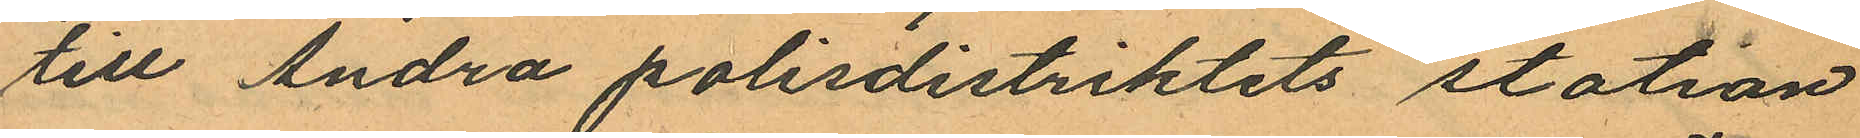till Andra polisdistriktets station
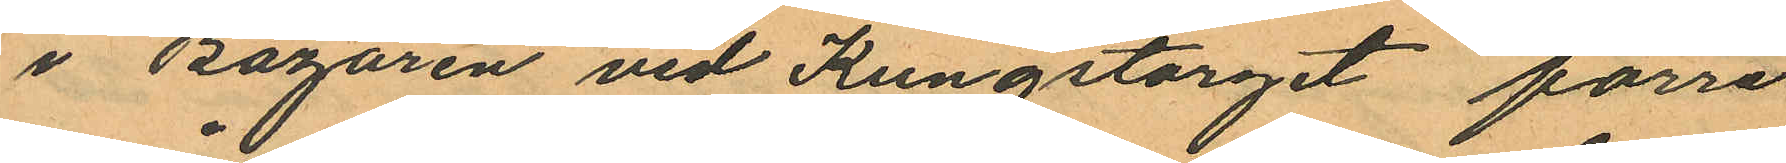i Bazaren vid Kungstorget förre
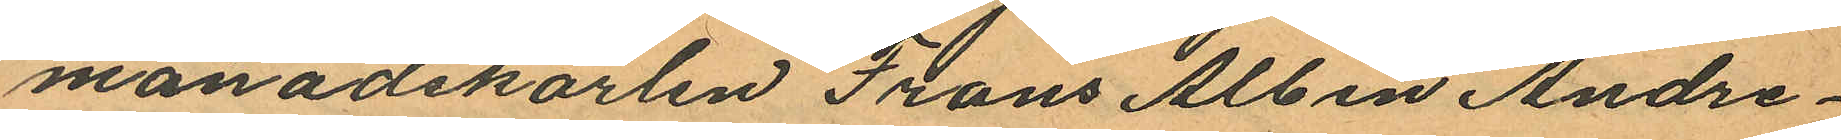månadskarlen Frans Albin Andre¬
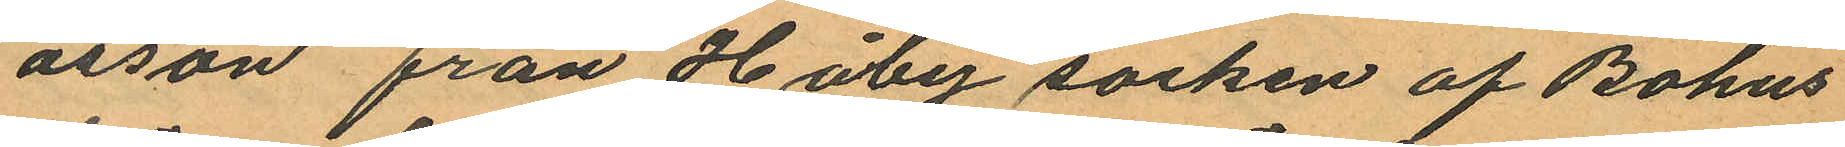asson från Håby socken af Bohus
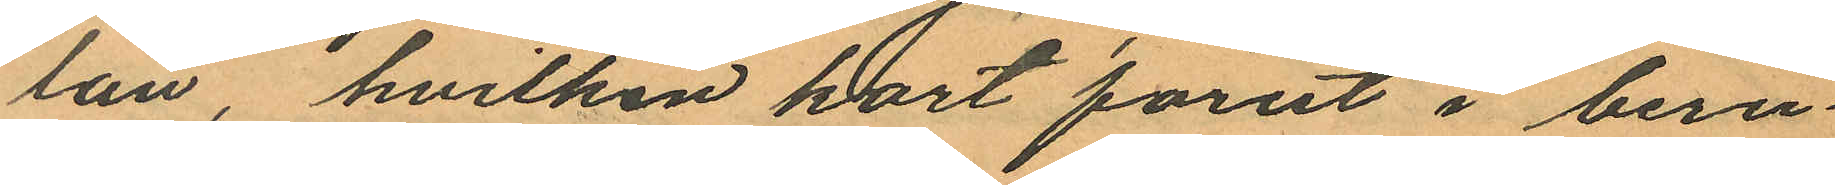län, hvilken kort förut i beru¬
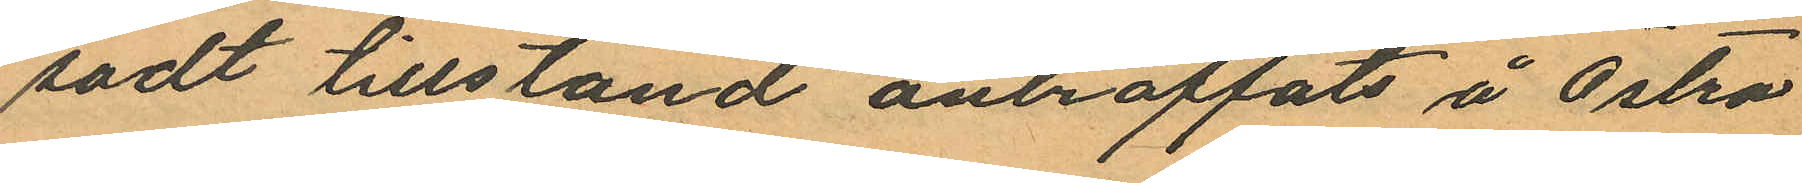sadt tillstånd anträffats å Östra
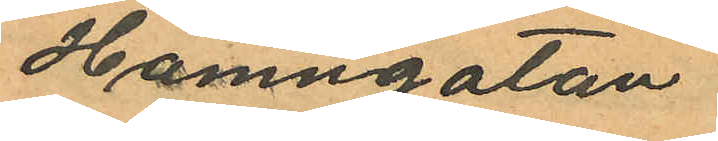Hamngatan.
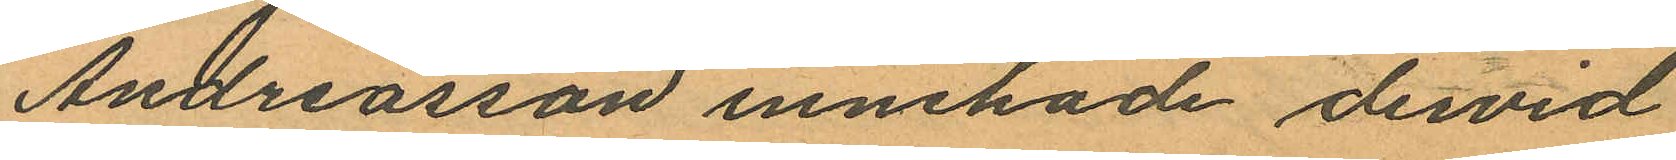Andreasson innehade dervid
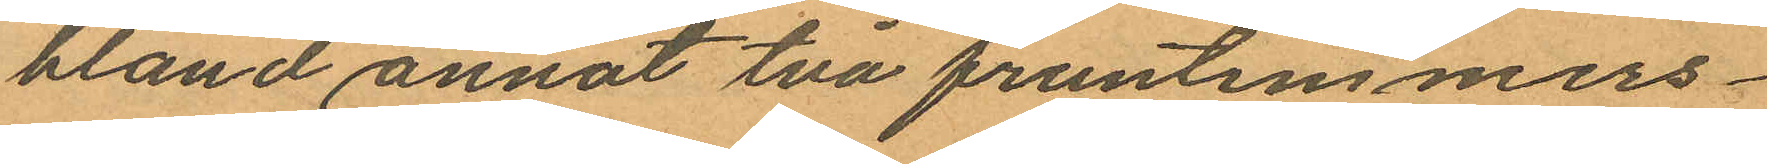bland annat två fruntimmers¬
